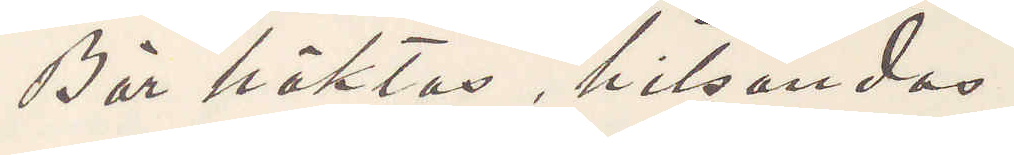Bör häktas, hitsändas.
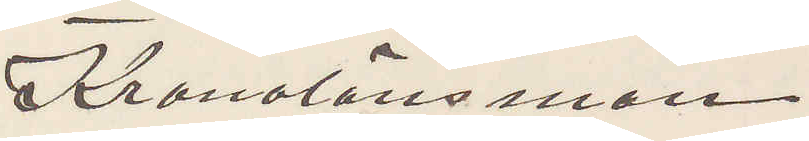Kronolänsman
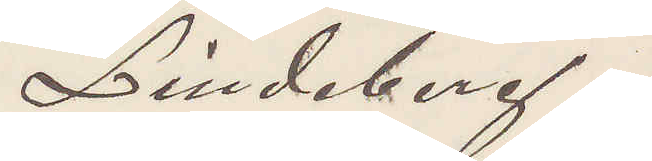Lindeberg.
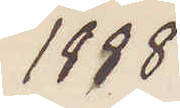1888
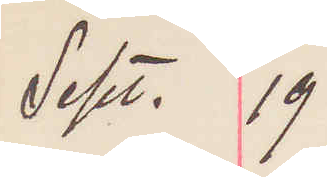Sept. 19
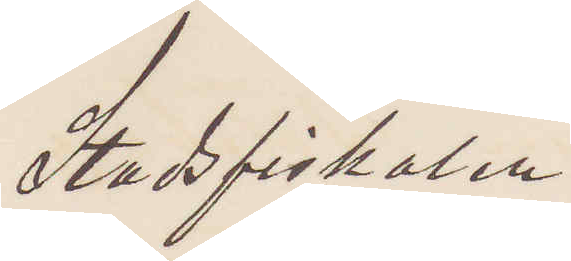Stadsfiskalen
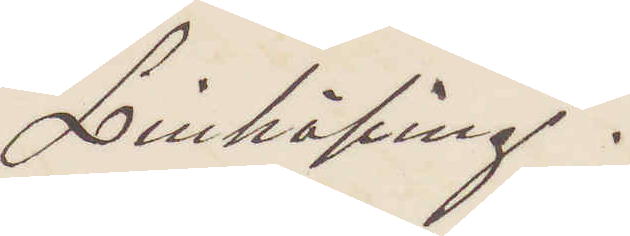Linköping.
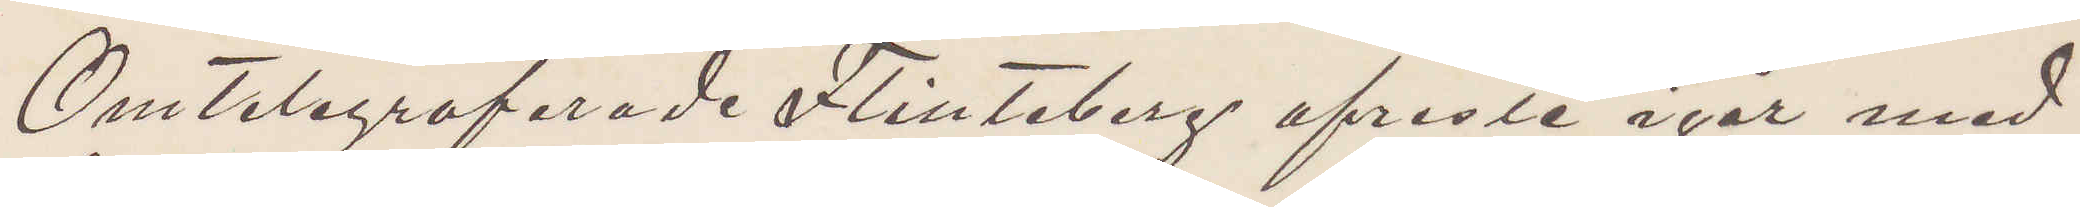Omtelegraferade Flinteberg afreste igår med
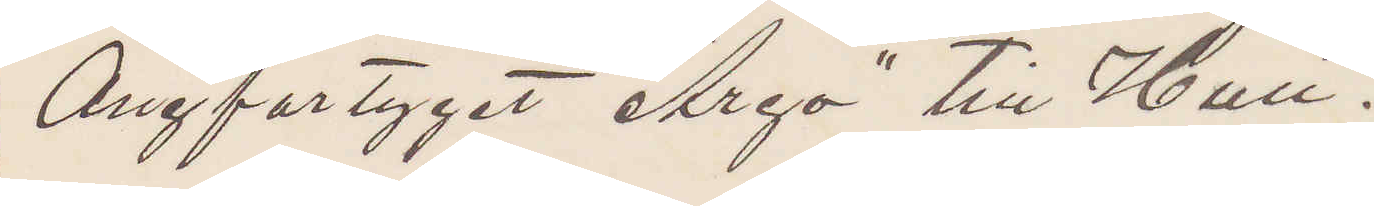Ångfartyget "Argo" till Hull.
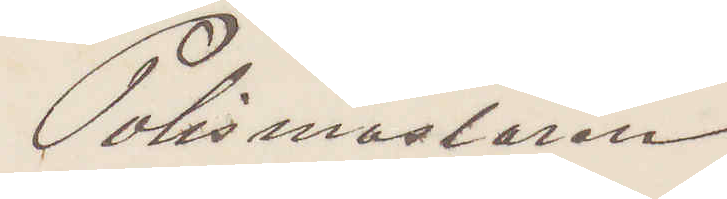Polismästaren
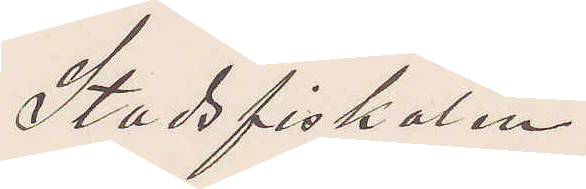Stadsfiskalen
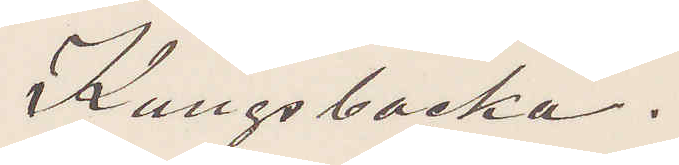Kungsbacka.
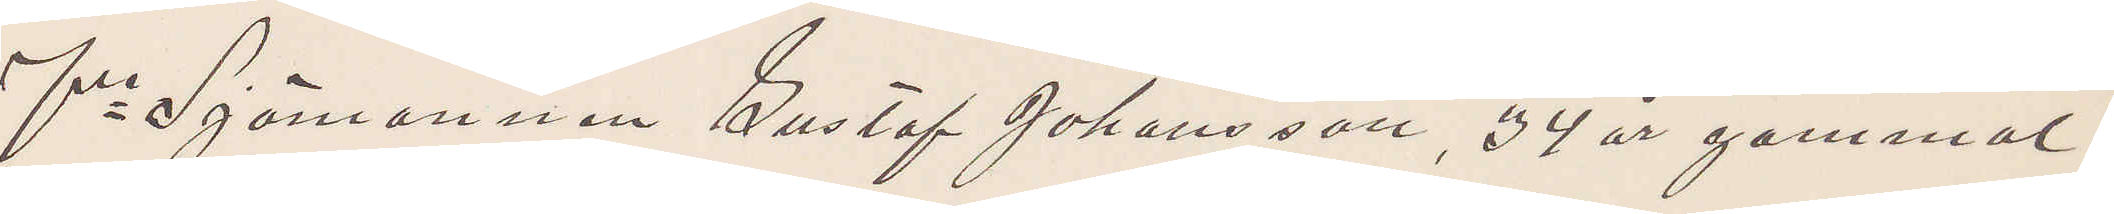Fre Sjömannen Gustaf Johansson, 34 år gammal,
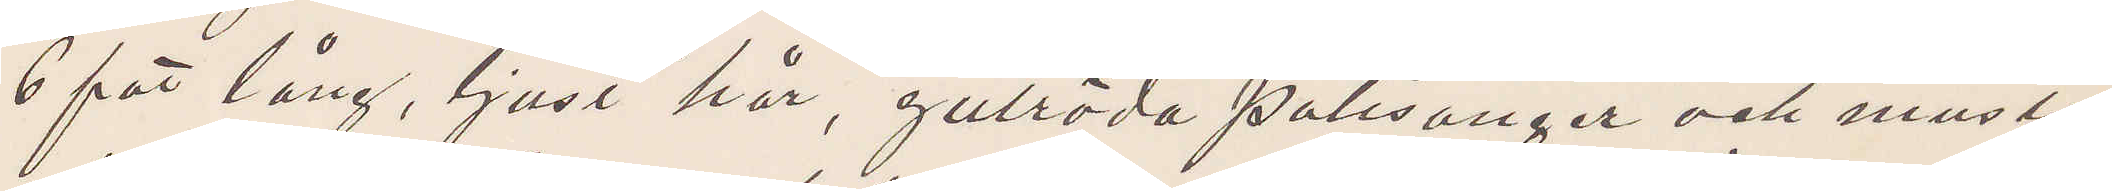6 fot lång, ljust hår, gulröda polisonger och musta¬
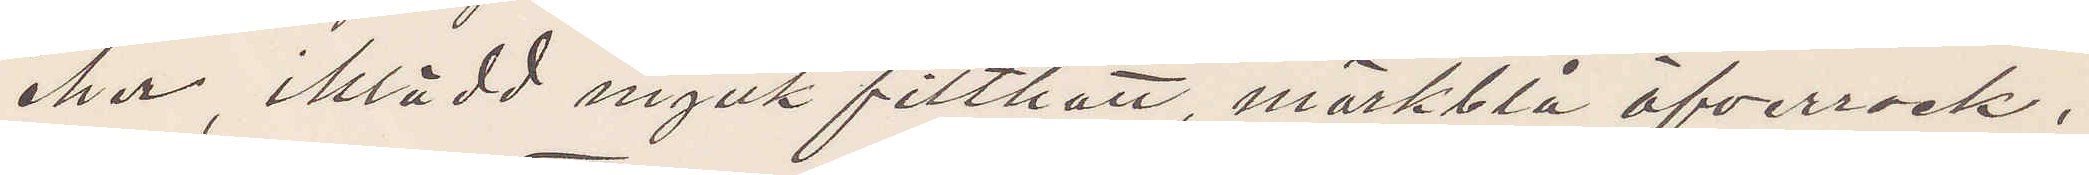cher, klädd mjuk filthatt, mörkblå öfverrock,
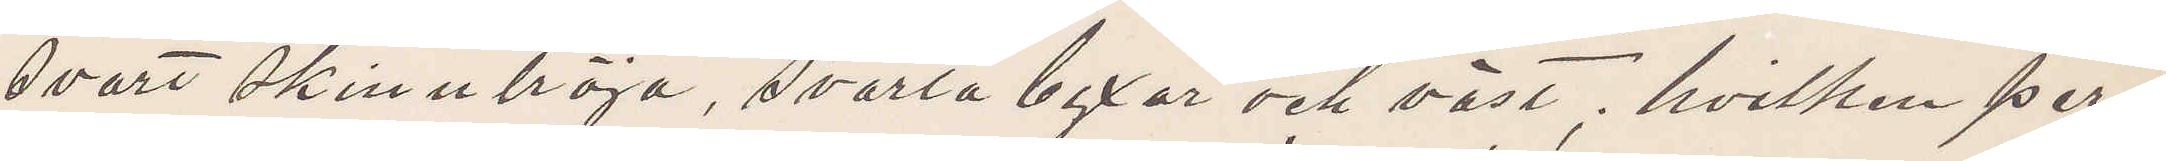svart skinntröja, svarta byxor och väst; hvilken per¬
